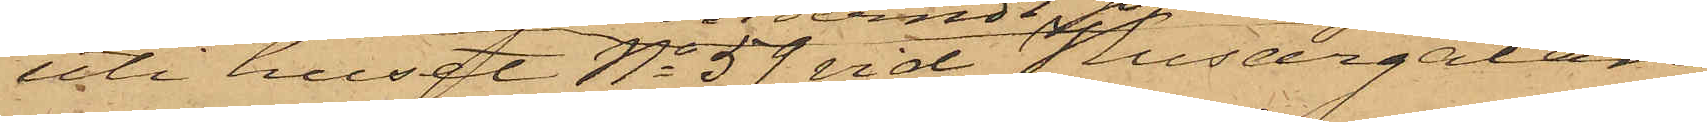uti huset No 59 vid Husargatan,
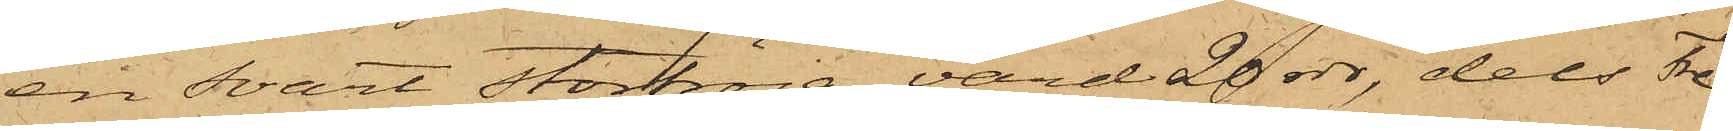en svart stortröja, värd 20 rdr, dels Fre¬
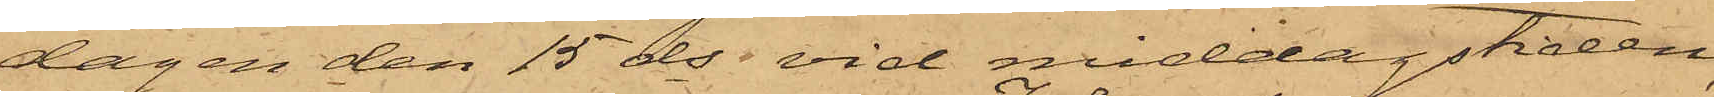dagen den 15 ds vid middagstiden,
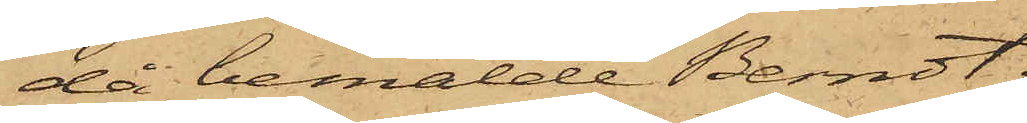då bemälde Berndt
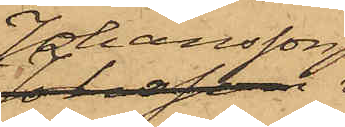Johansson
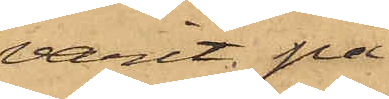varit på
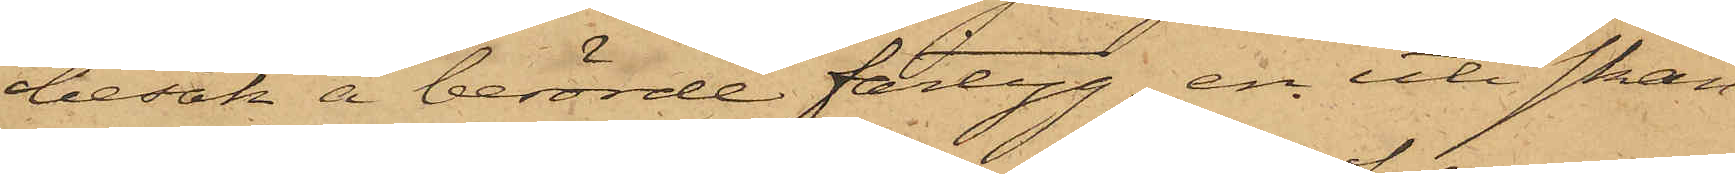besök å berörde fartyg, en uti skan¬
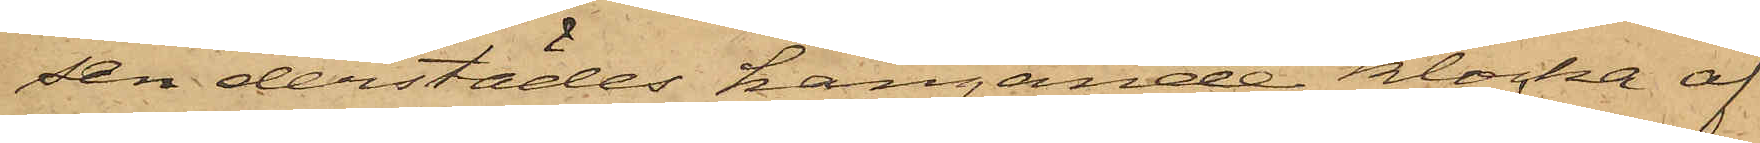sen derstädes hängande klocka af
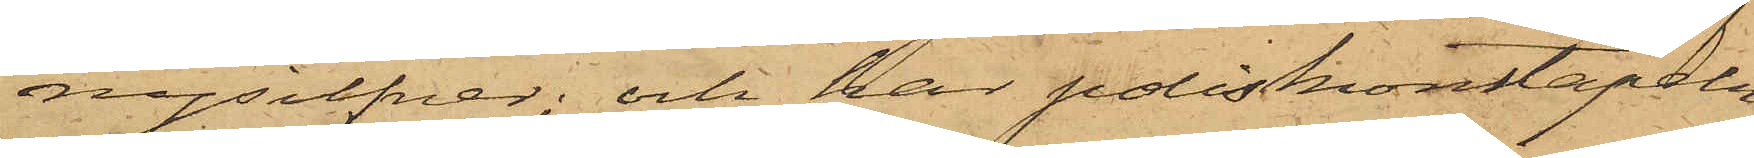nysilfver; och har poliskonstapeln
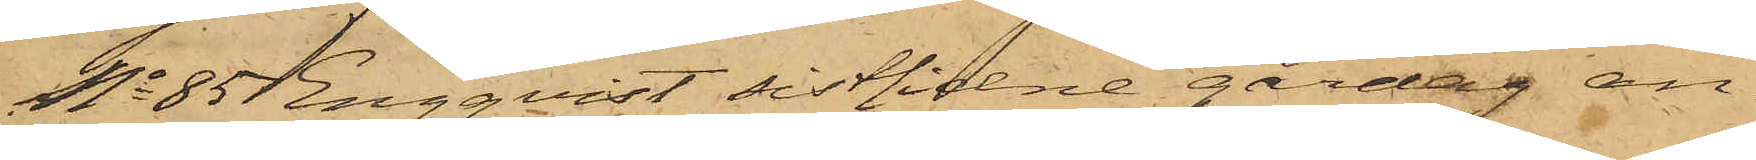No 85 Engqvist sistlidne gårdag an¬
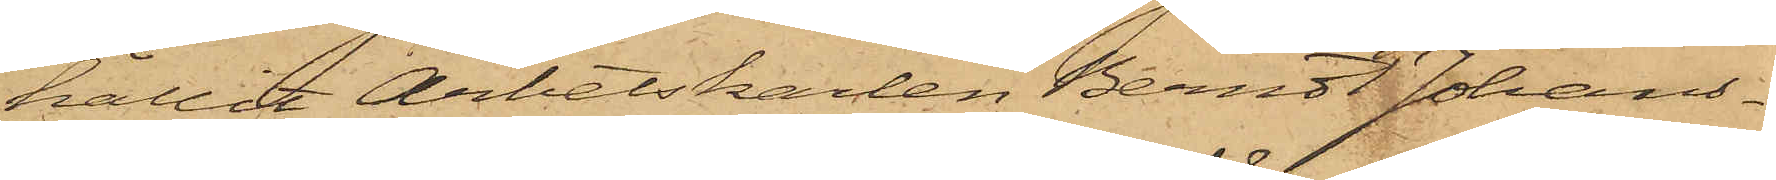hållit Arbetskarlen Berndt Johans¬
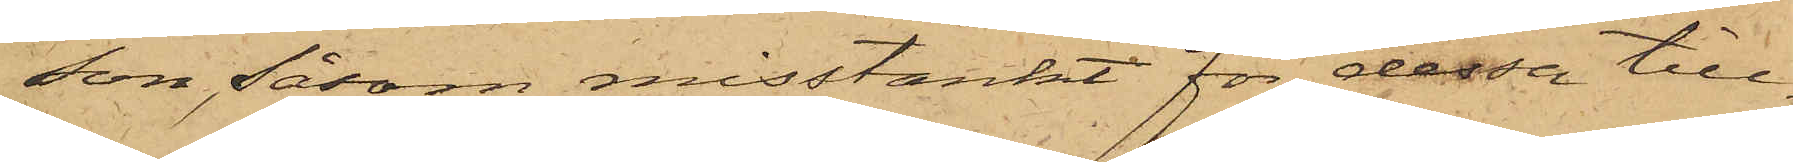son, såsom misstänkt för dessa till¬
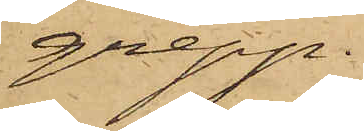grepp.
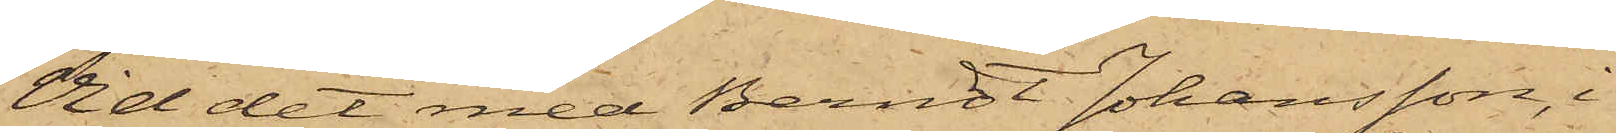Vid det med Berndt Johansson, i
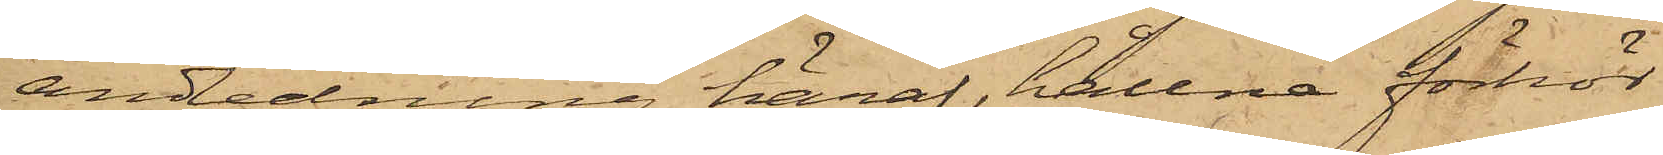anledning häraf, hållne förhör,
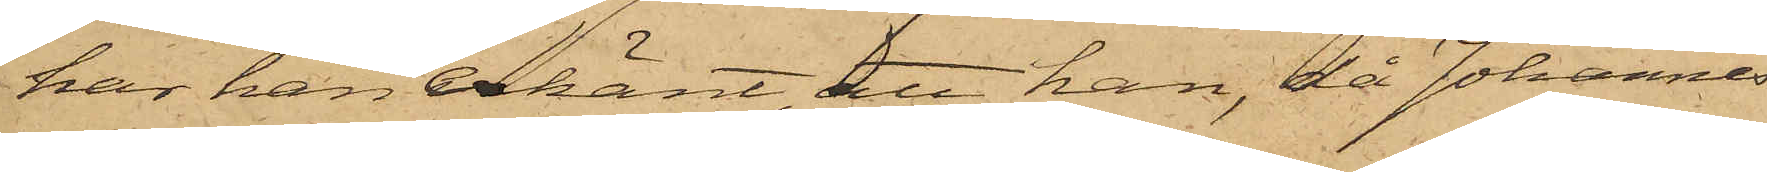har han erkänt, att han, då Johannes
